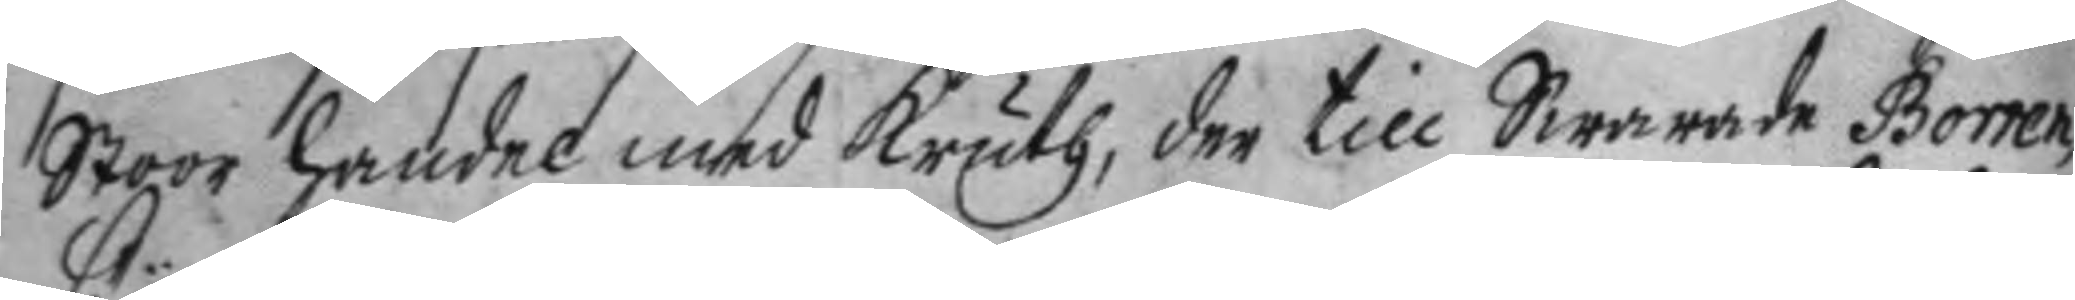Stoor handel med kruth, der till Swarade Borren
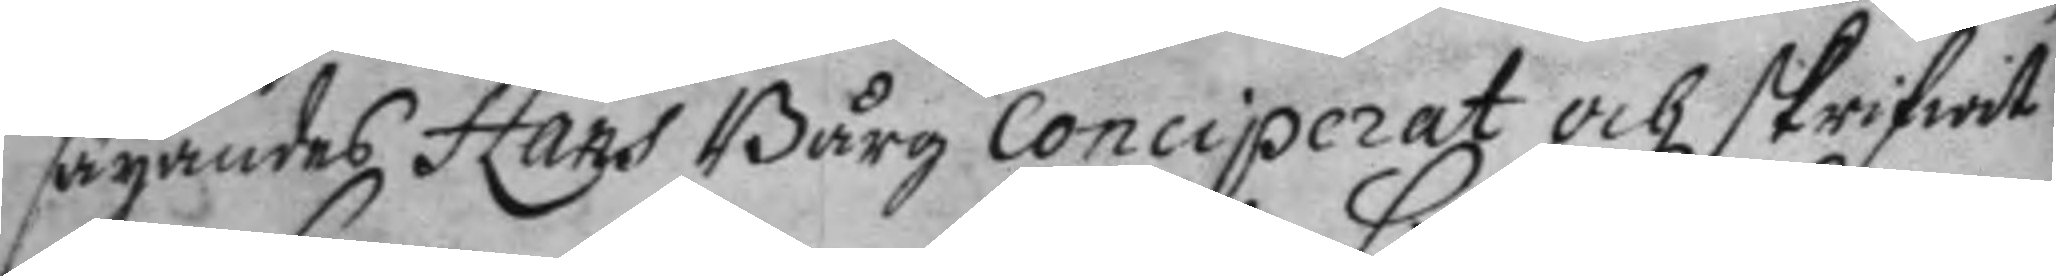säyandes Hans Bårg Conciperat och skrifwit
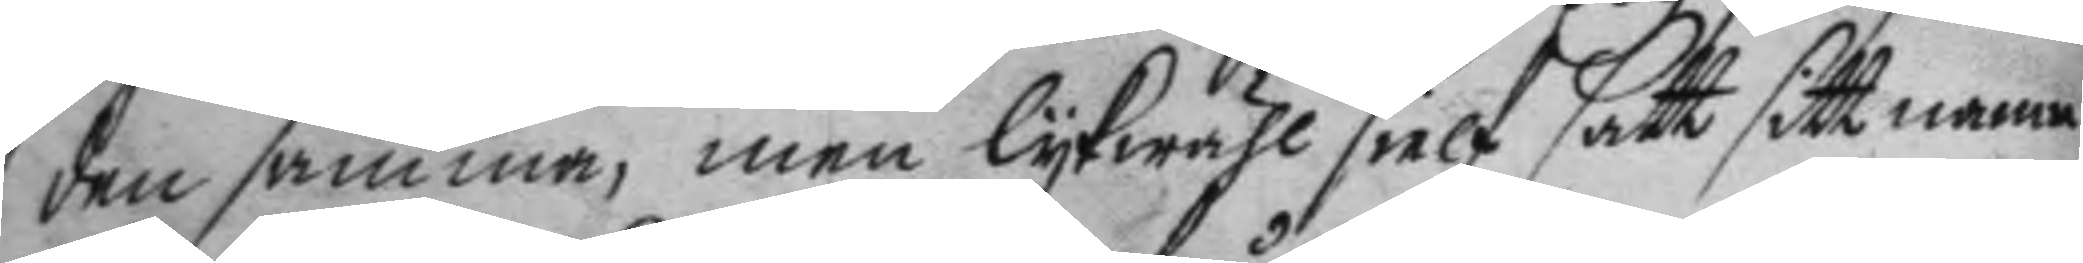den samma, men lykwähl sielf satt sitt namn
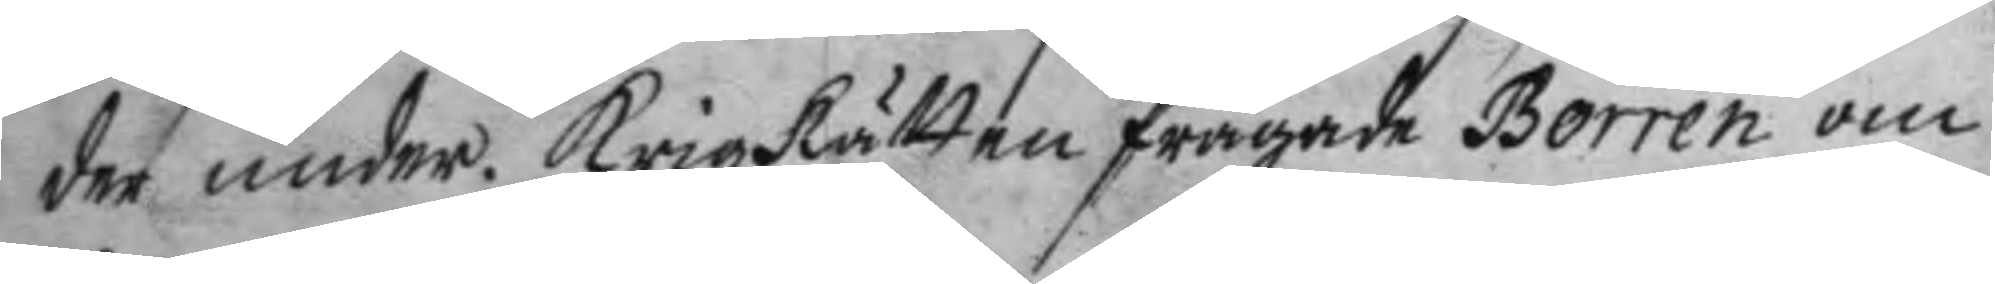der under. Krigz Rätten frågade Borren om
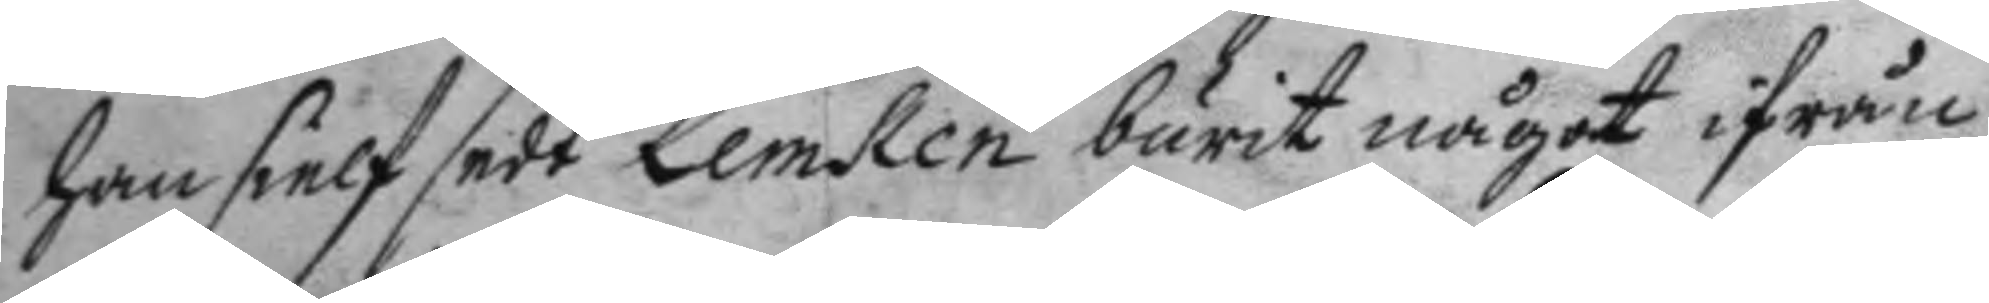han sielf sedt Lemken burit något ifrån
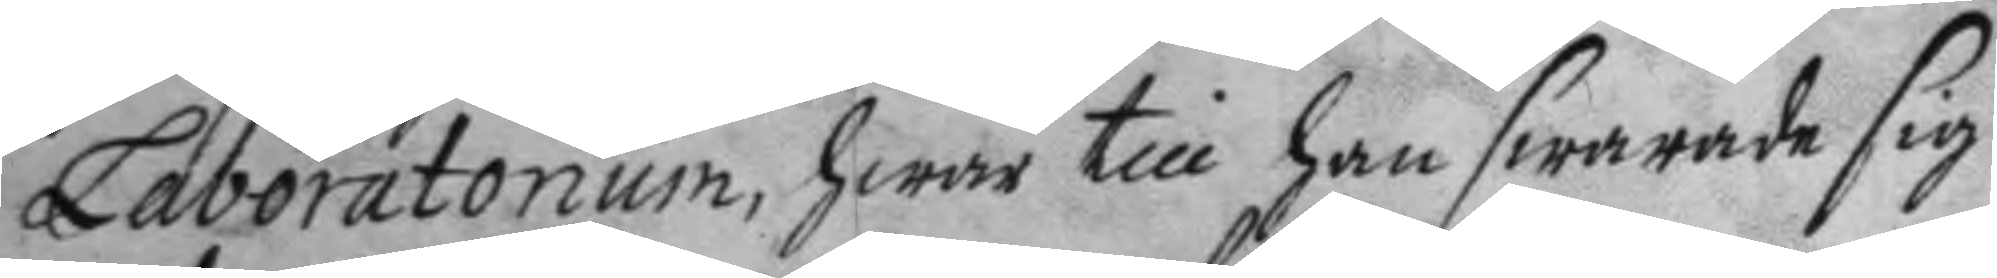Laboratorium, hwar till han swarade sig
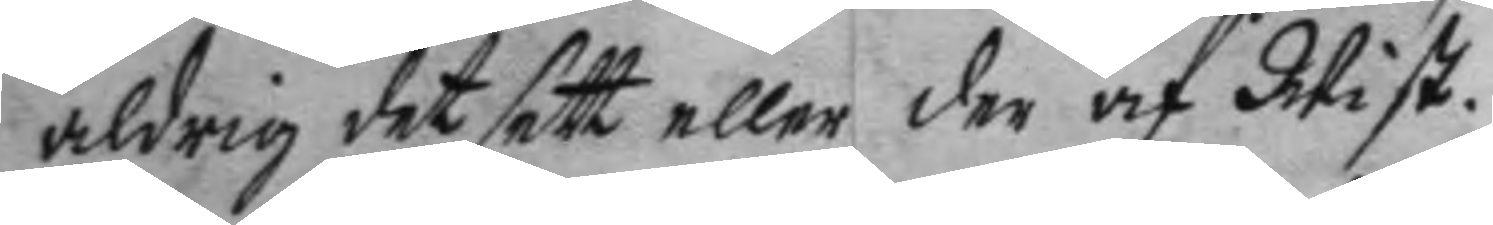aldrig det sett eller der af Wist.
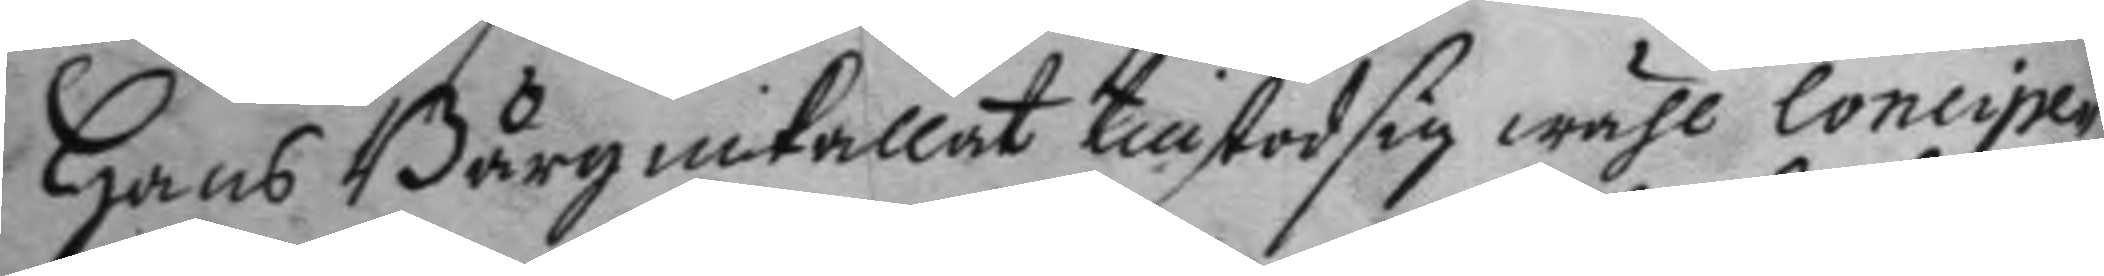Hans Bårg inkallat tillstod sig wähl Concipe¬
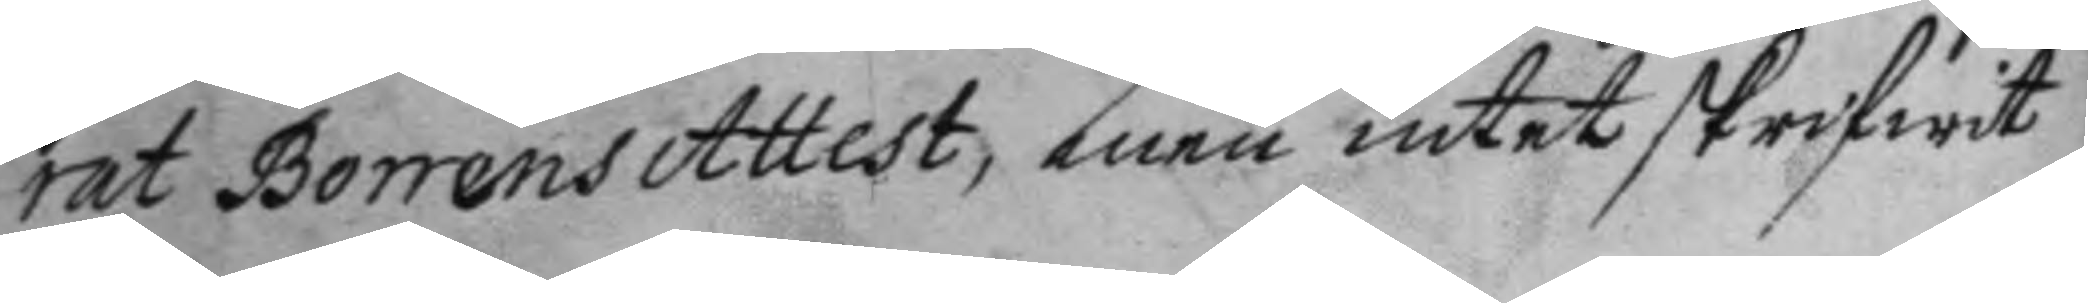rat Borrens Attest, men intet skrifwit
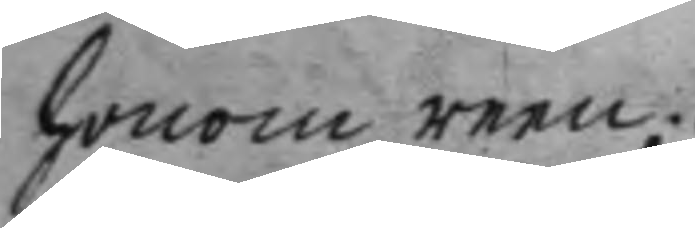honom reen.
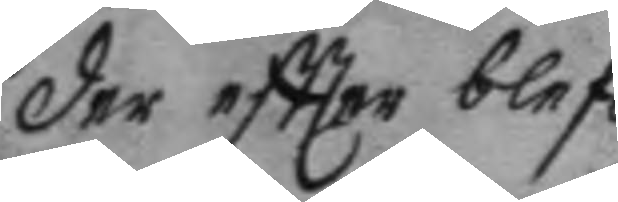der eftter blef  
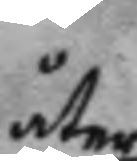åter
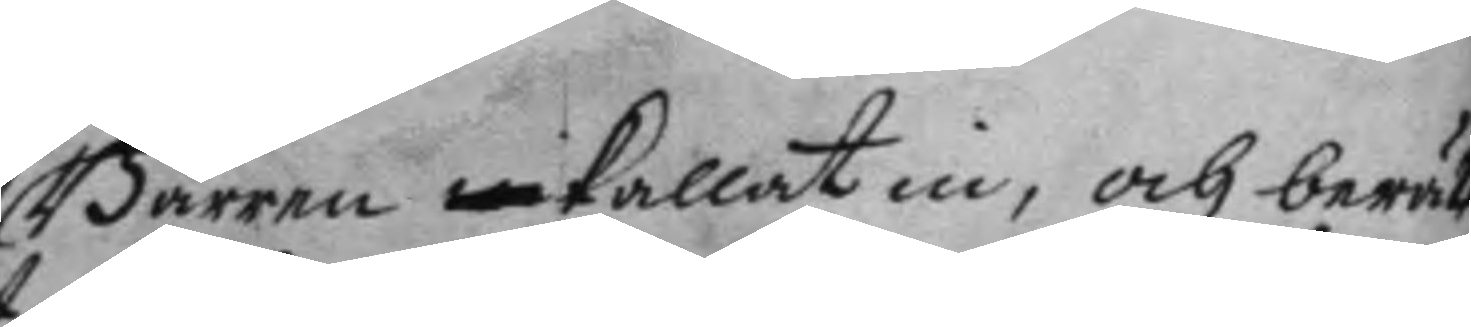Bårren inkallat in, och berätta¬
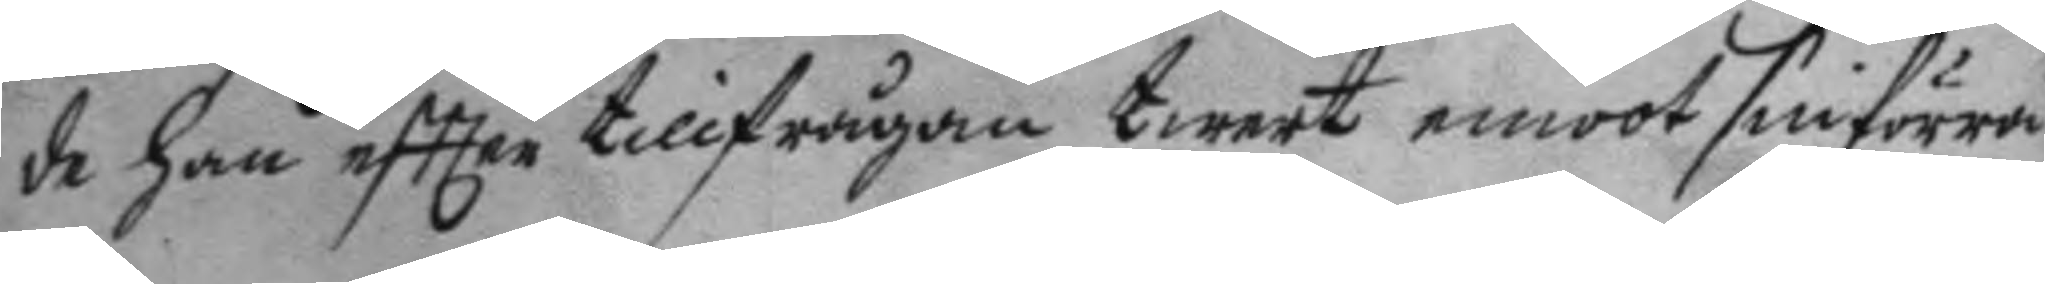de han eftter tillfrågan tweert emoot sin förra
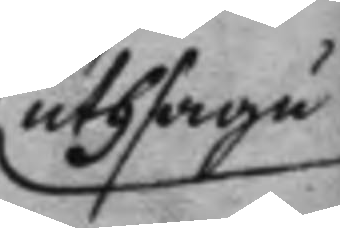uthsagu
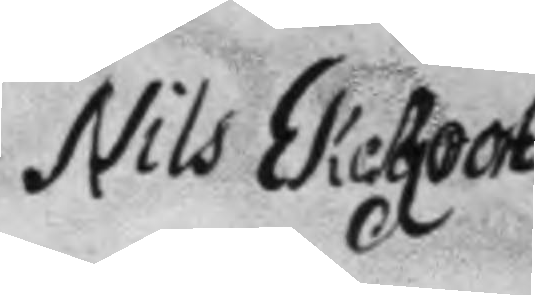Nils Ekeroot
